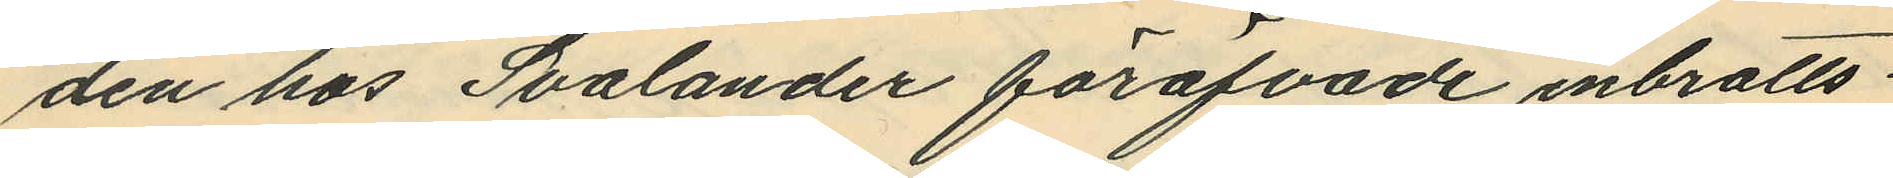den hos Svalander föröfvade inbrotts¬
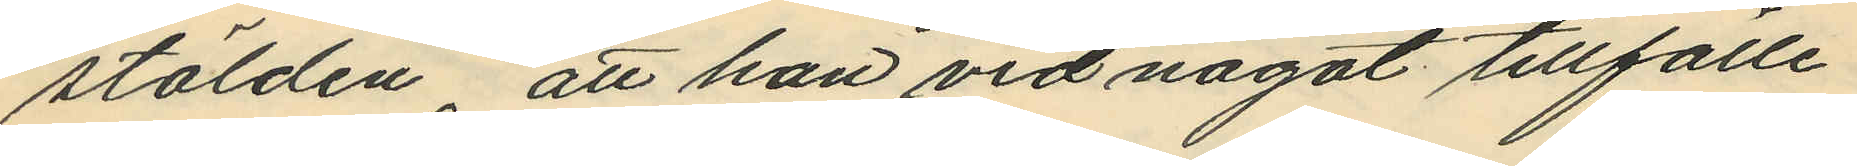stölden, att han vid något tillfälle
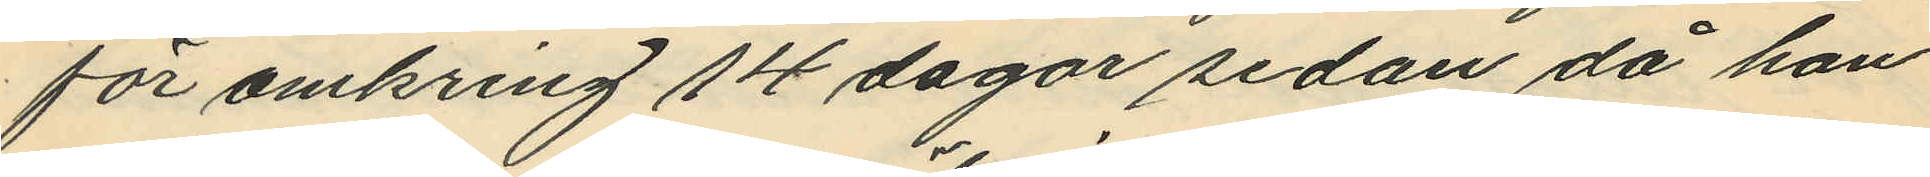för omkring 14 dagar sedan då han
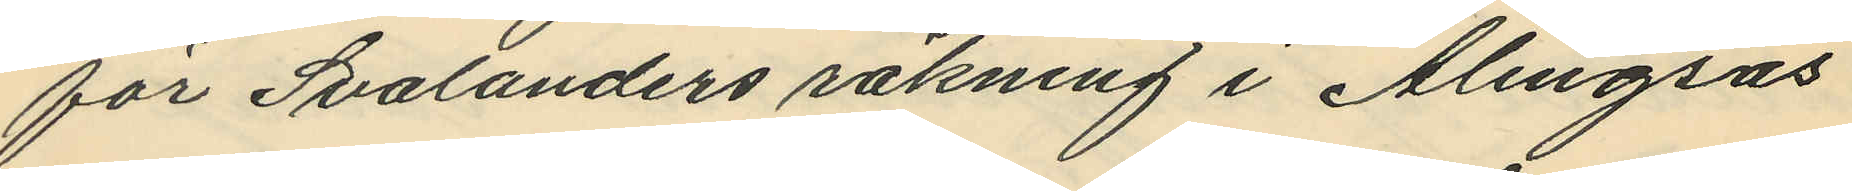för Svalanders räkning i Alingsås
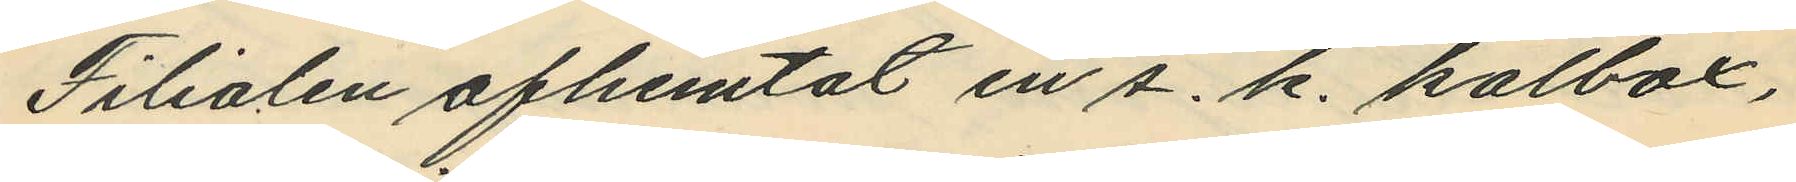Filialen afhemtat en s. k. kolbox,
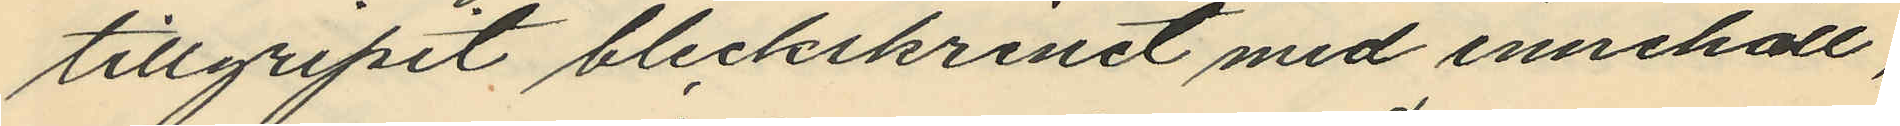tillgripit bleckskrinet med innehåll,
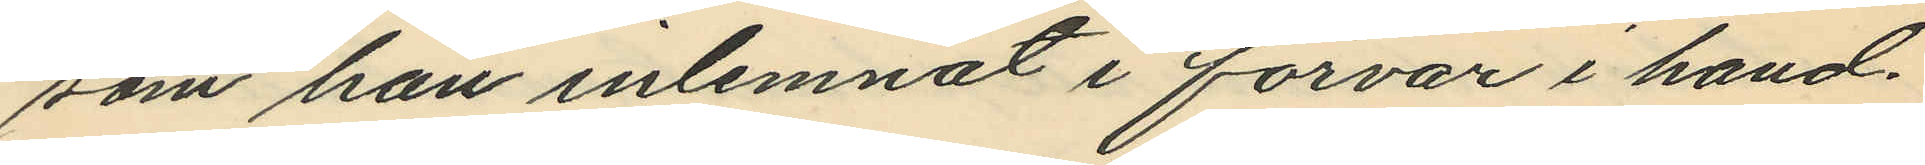som han inlemnat i förvar i hand¬
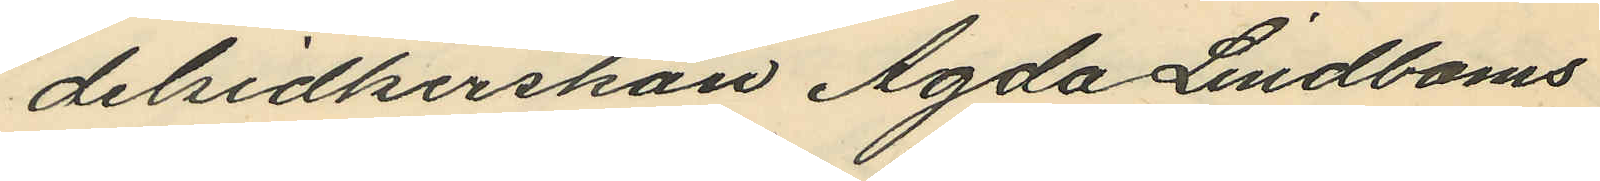delsidkerskan Agda Lindboms
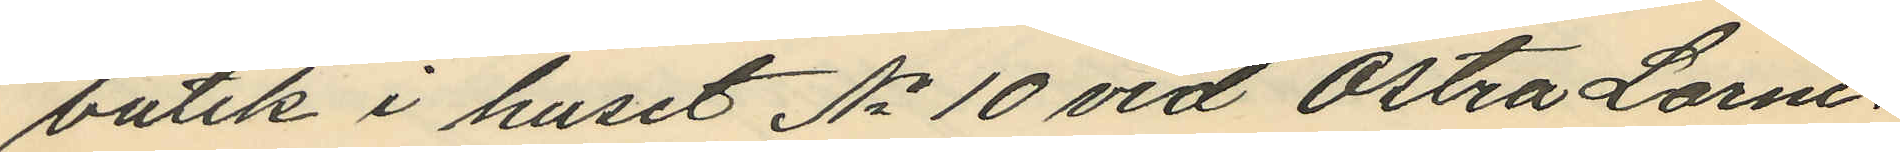butik i huset No 10 vid Östra Larm¬
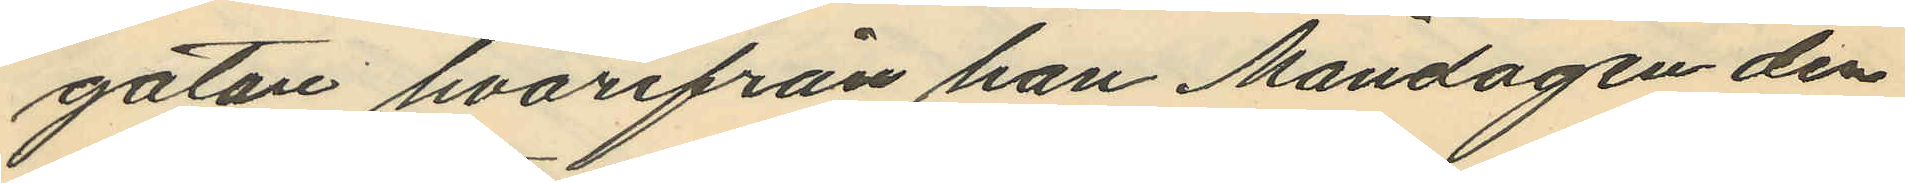gatan hvarifrån han Måndagen den
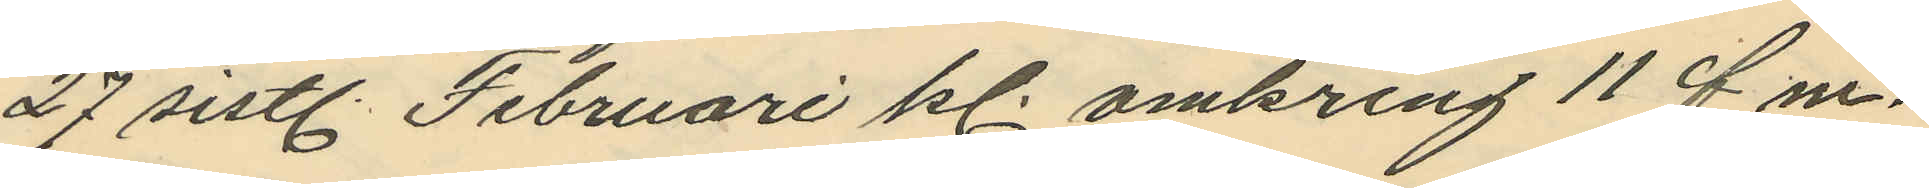27 sistl. Februari kl. omkring 11 f m.
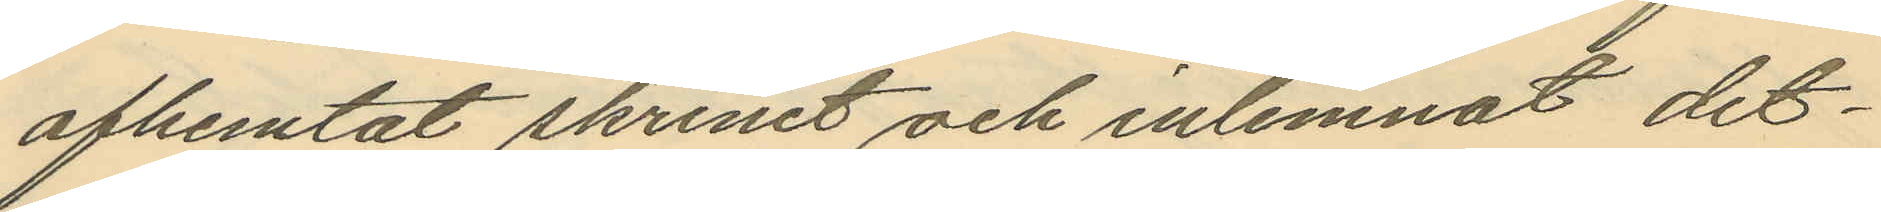afhemtat skrinet och inlemnat det¬
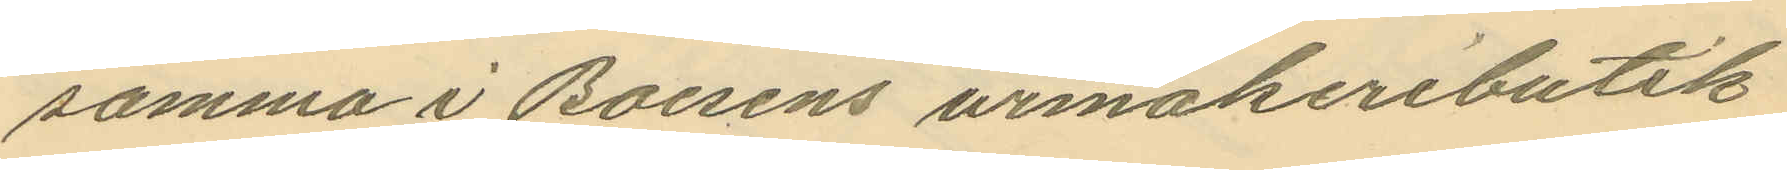samma i Boesens urmakeributik
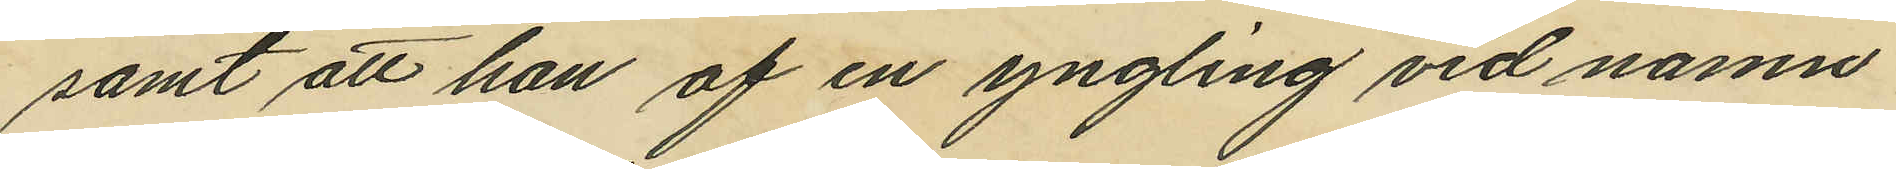samt att han af en yngling vid namn
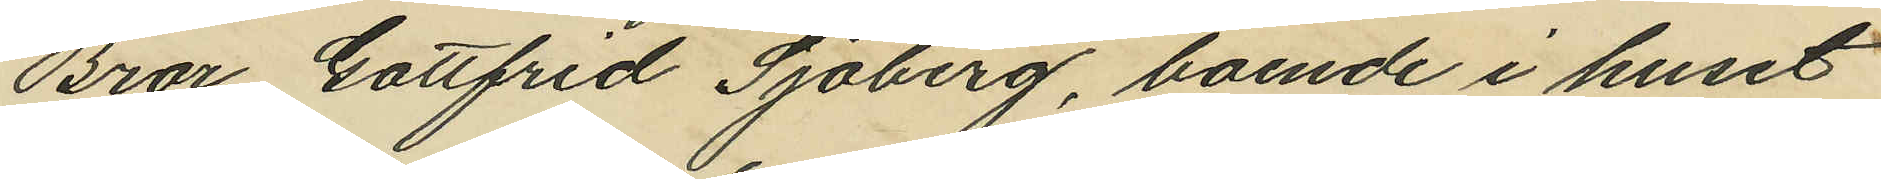Bror Gottfrid Sjöberg, boende i huset
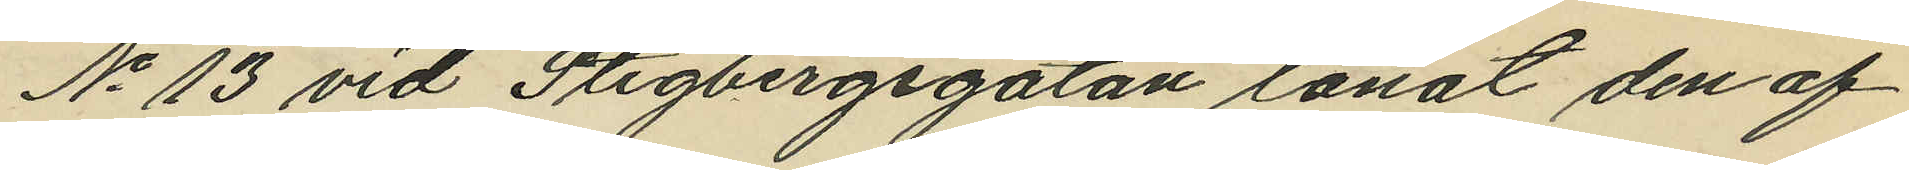No 13 vid Stigbergsgatan lånat den af
